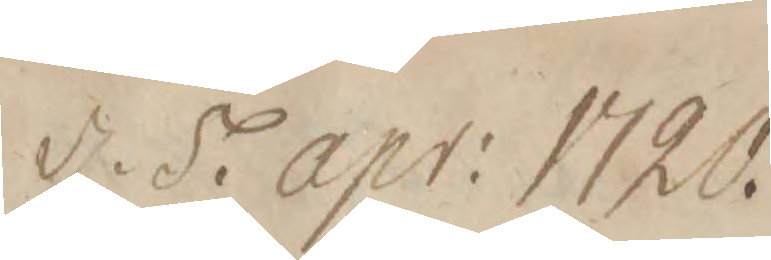d. 5. apr: 1720.
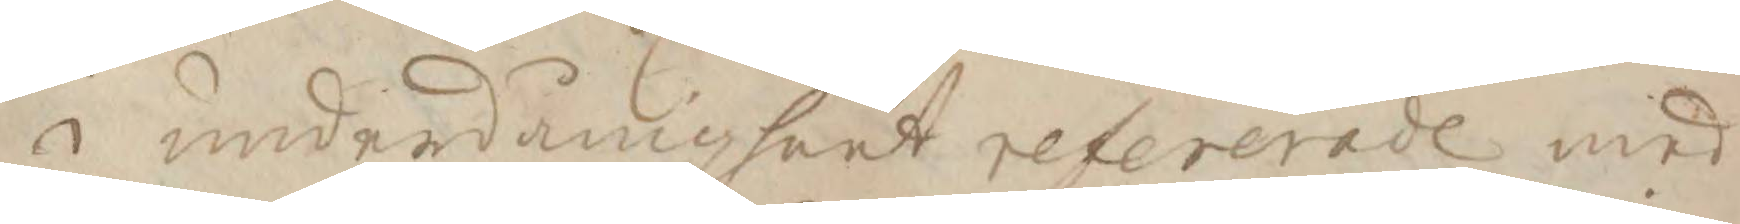i underdånigheet refererade med
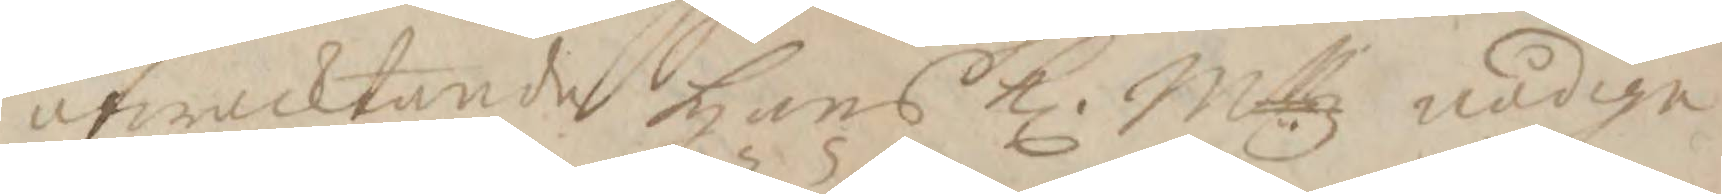afwacktande Hans K. Mttz nådige
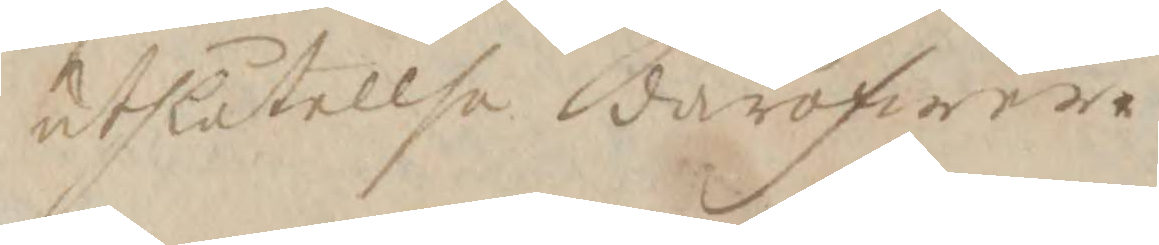utlåtelse däröfwer.
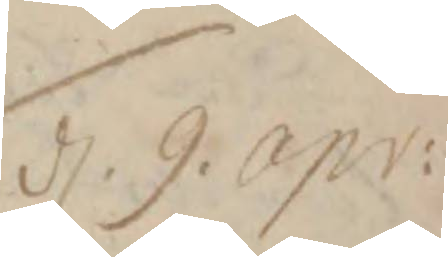d. 9. Apr:
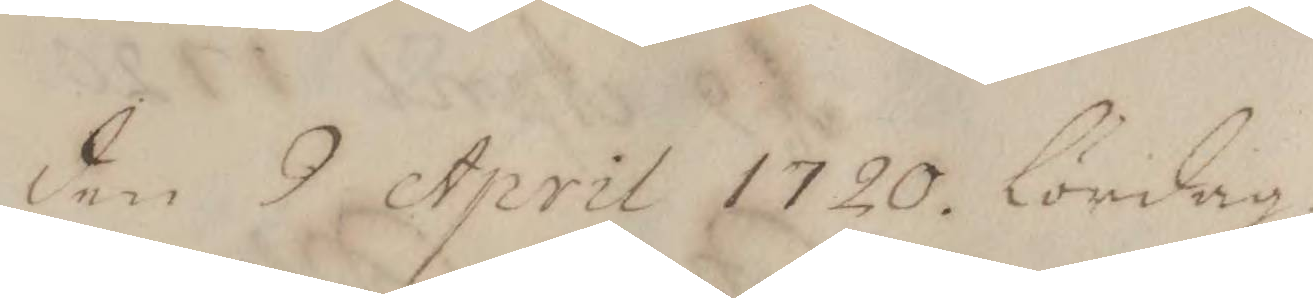den 9 April 1720. Lördag
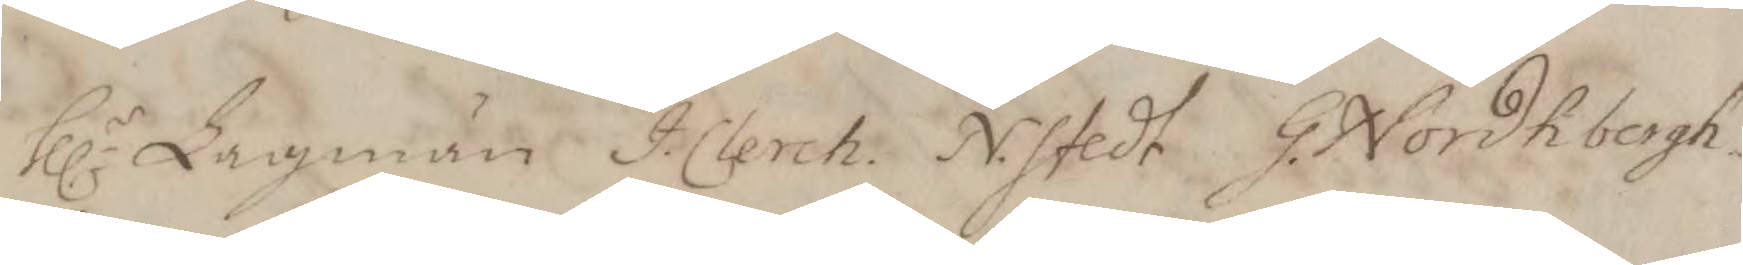hh.r Lagmän J. Clerch. N. Stedt G. Nordhbergh
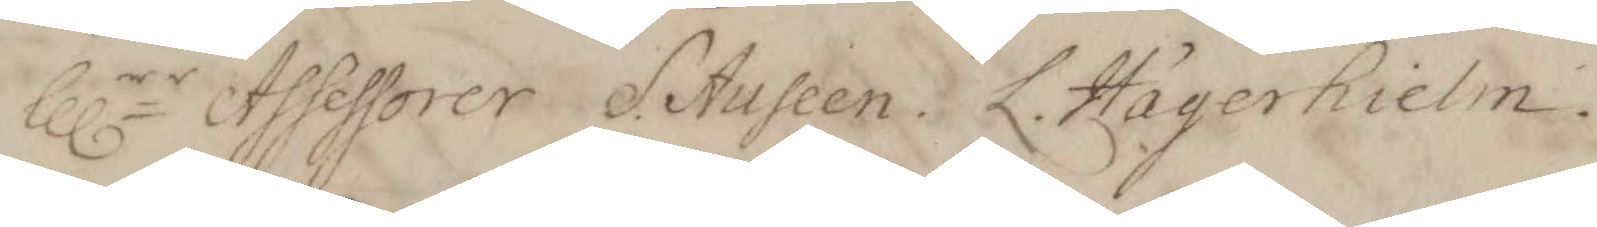hh.rr Assessorer S. Ausleen. K. Hägerhielm.
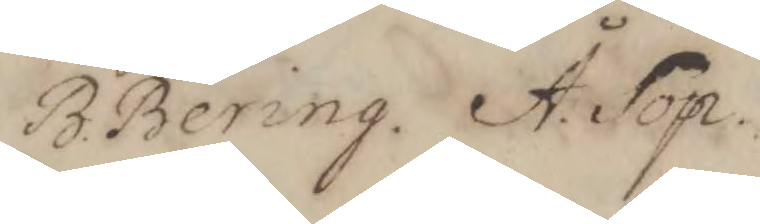B. Bering. Å. Sop.
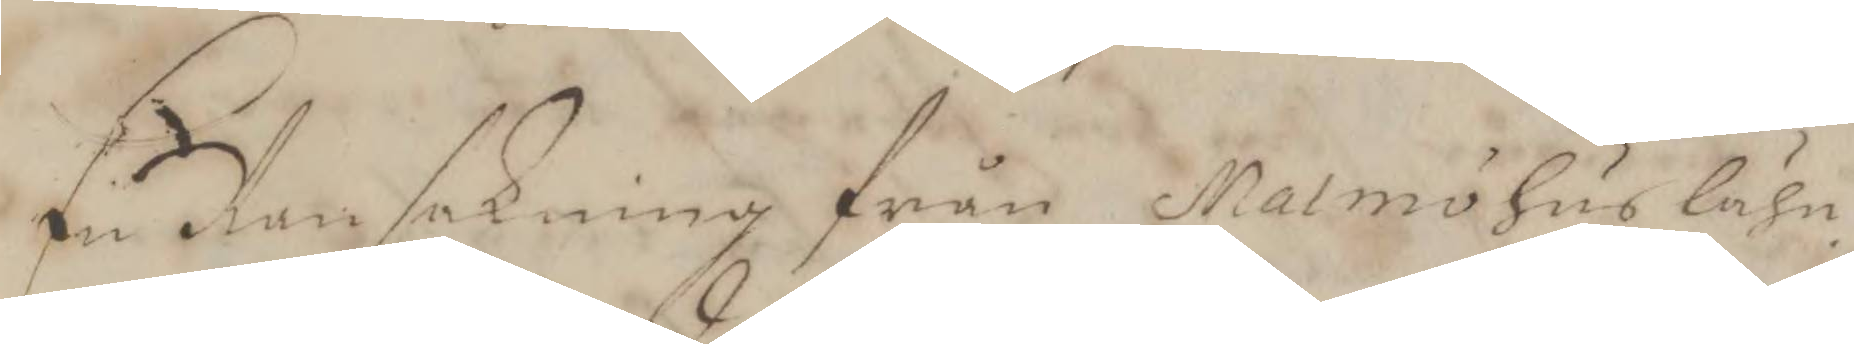En Ransakning från Malmöhus Lähn
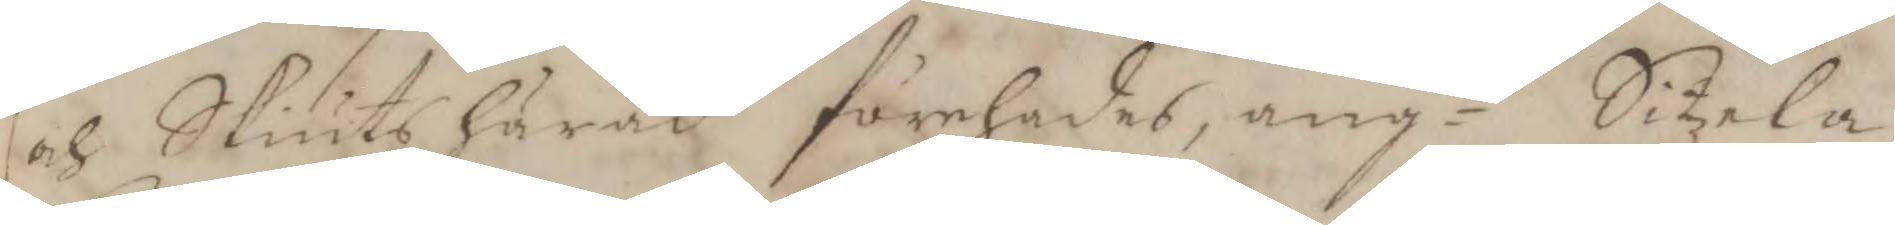och Skiuts härad förehades, angde Sitzela
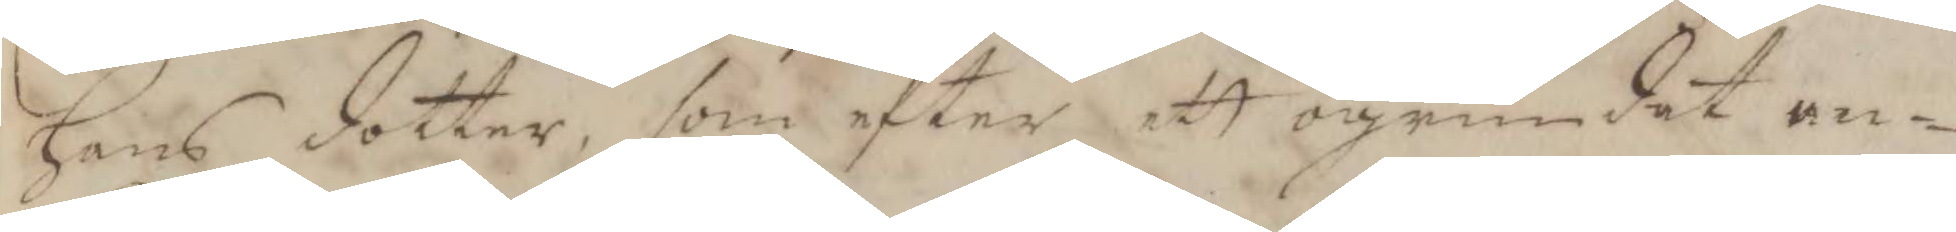Hans dotter, som efter att ogrundat an¬
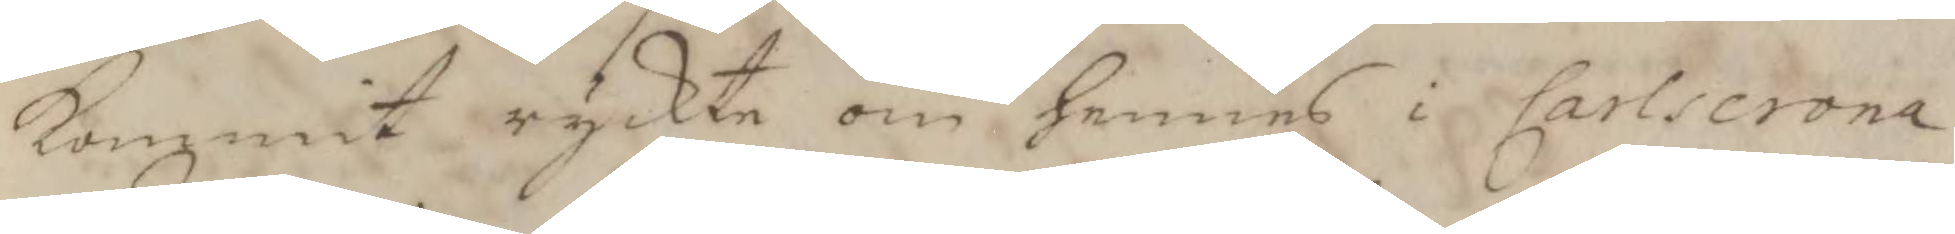Kommit ryckte om hennes i Carlscrona
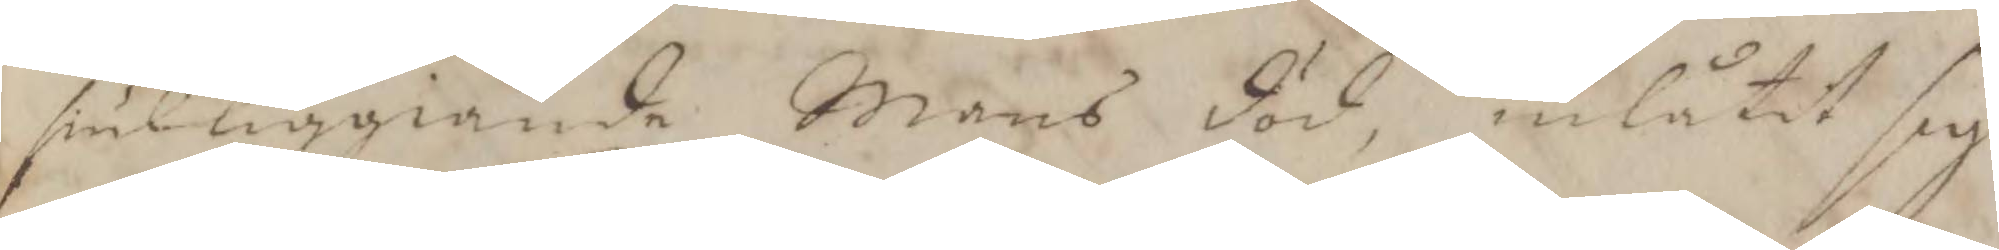siukliggiande Mans död, inlåtit sig
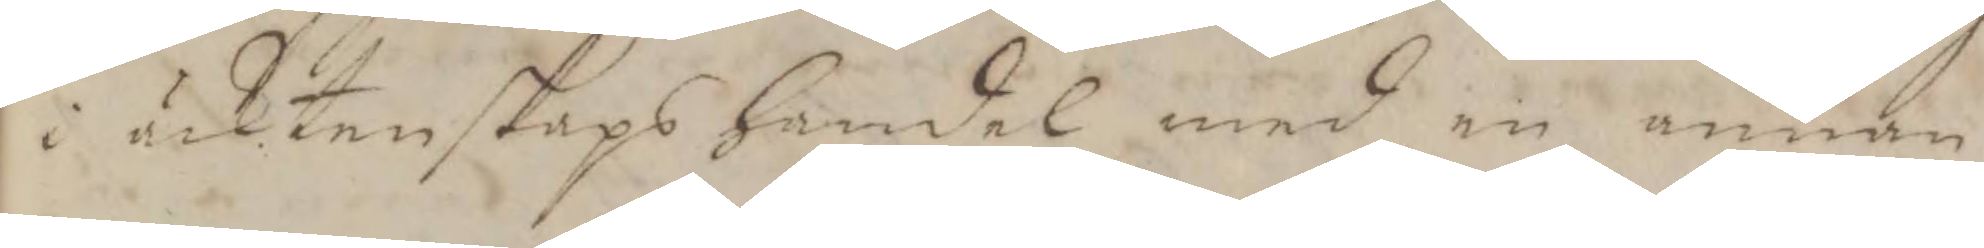i äcktenskaps handel med en annan
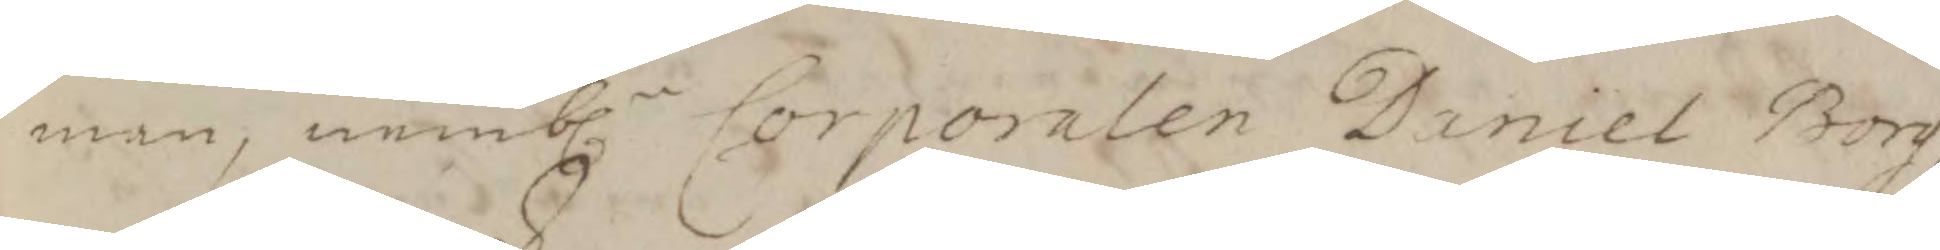man, nemb.n Corporalen Daniel Borg,
